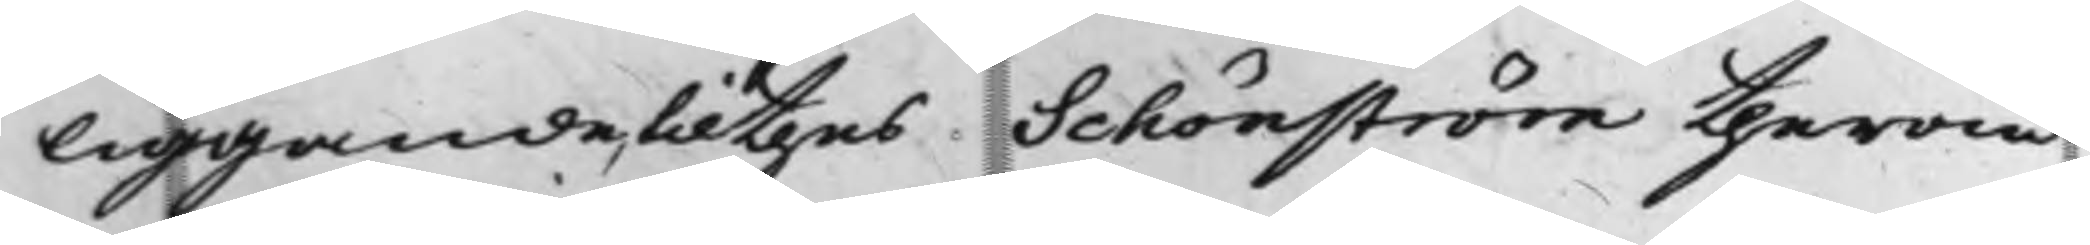liggande, til thes Schönström therom
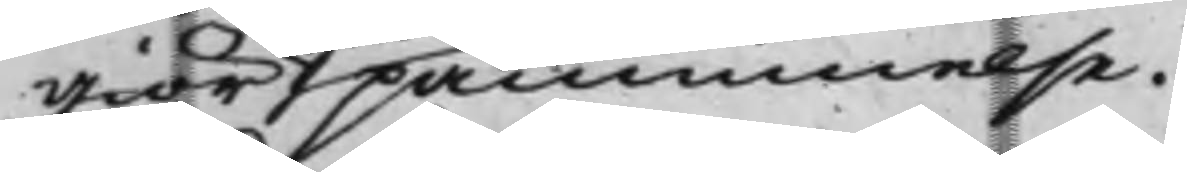giör påminnelse.
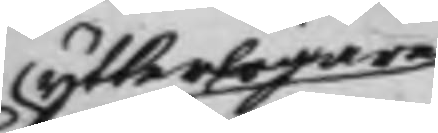ytterligare
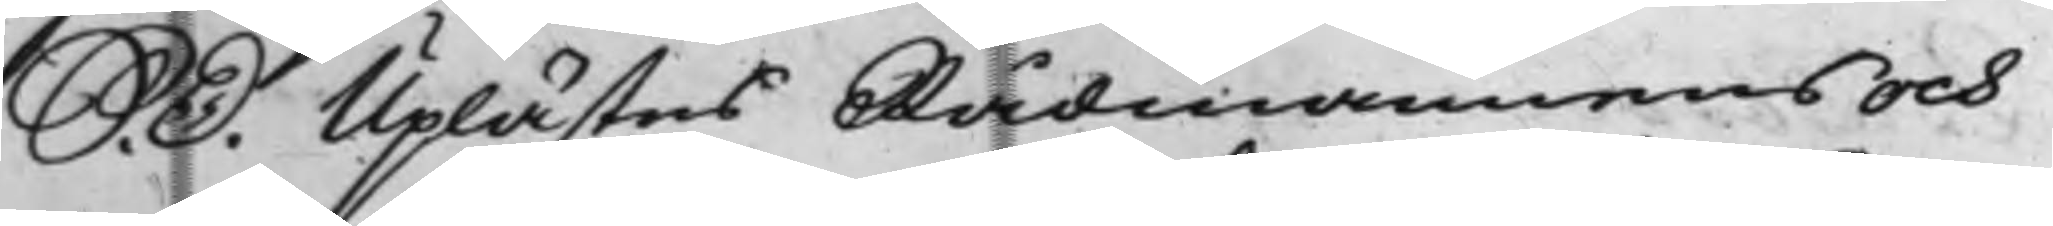S. D. Uplästes Rådmannens och
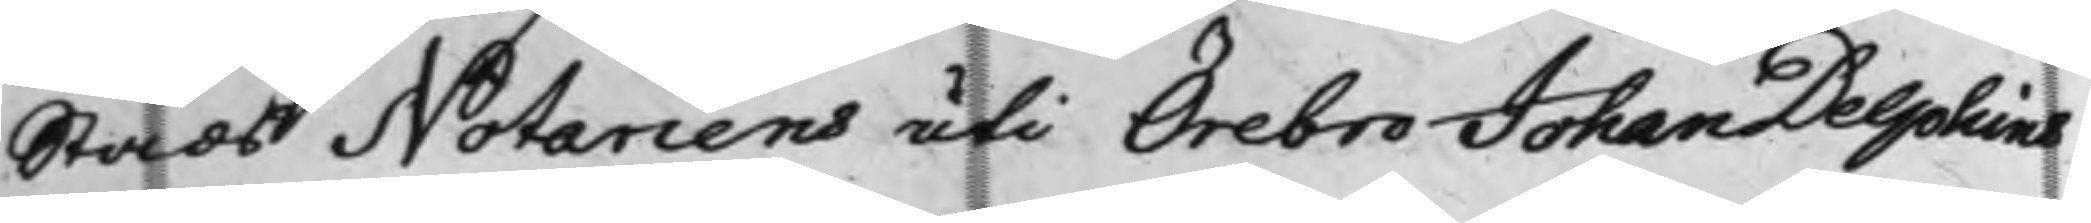Stads Notariens uti Örebro Johan Delphins
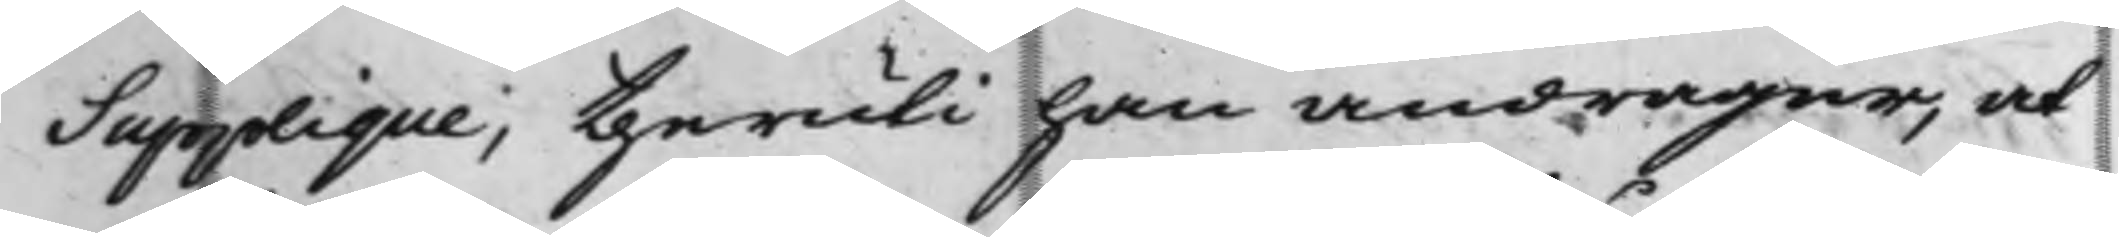Supplique; theruti han andrager, at
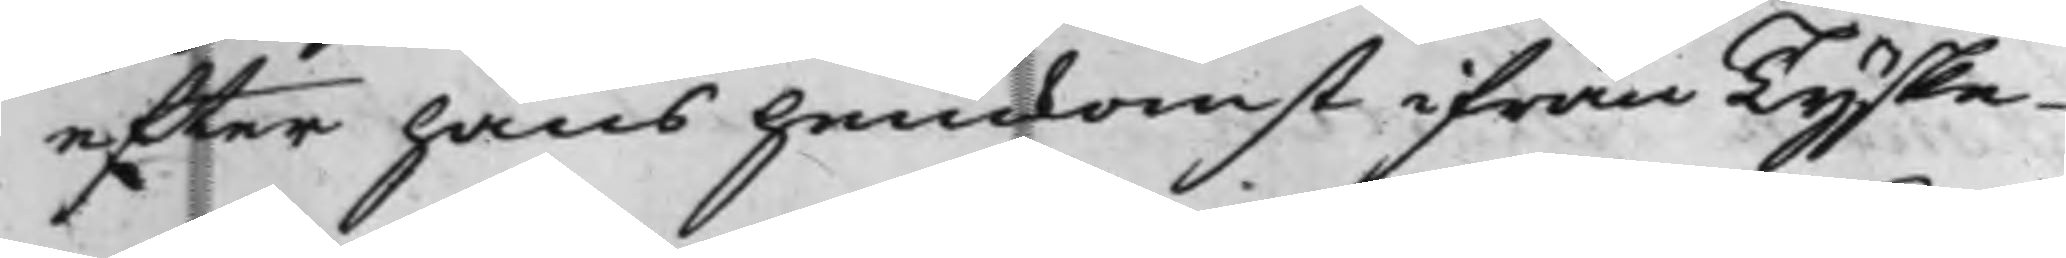efter hans hemkomst ifrån Tyske
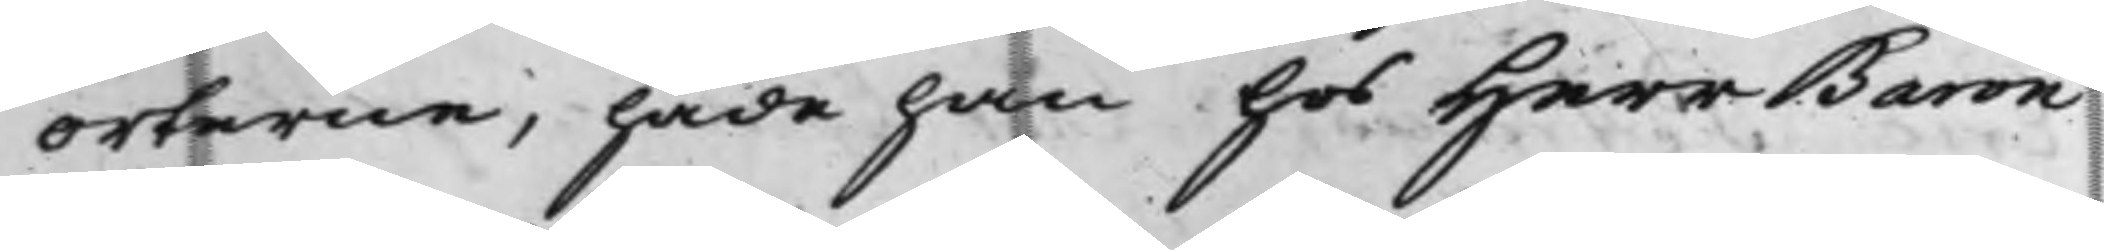orterne, hade han hos Herr Baron
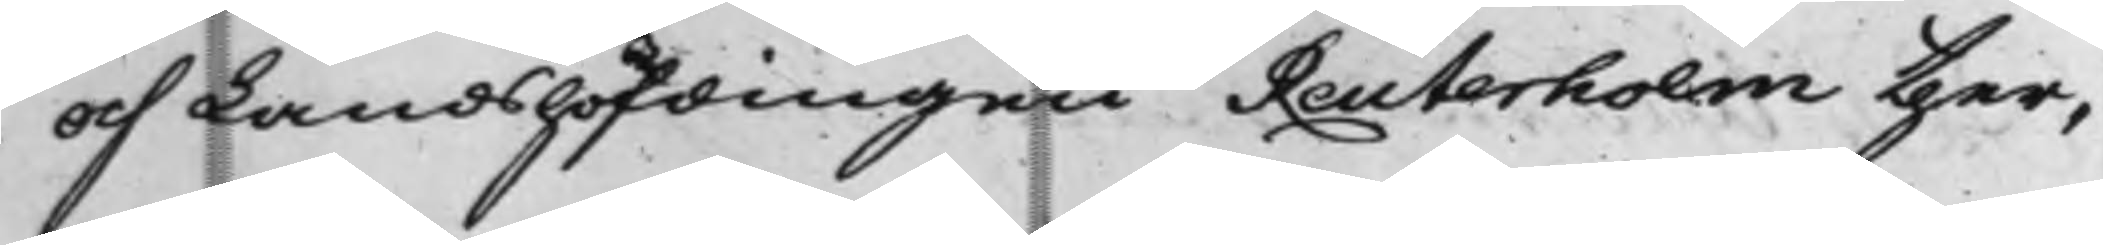och Landshöfdingen Reuterholm ther¬
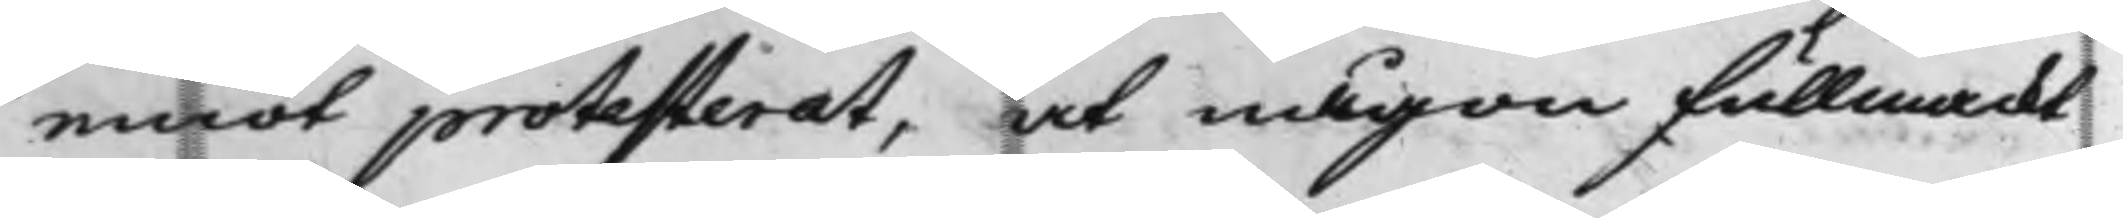emot protesterat, at någon fullmackt
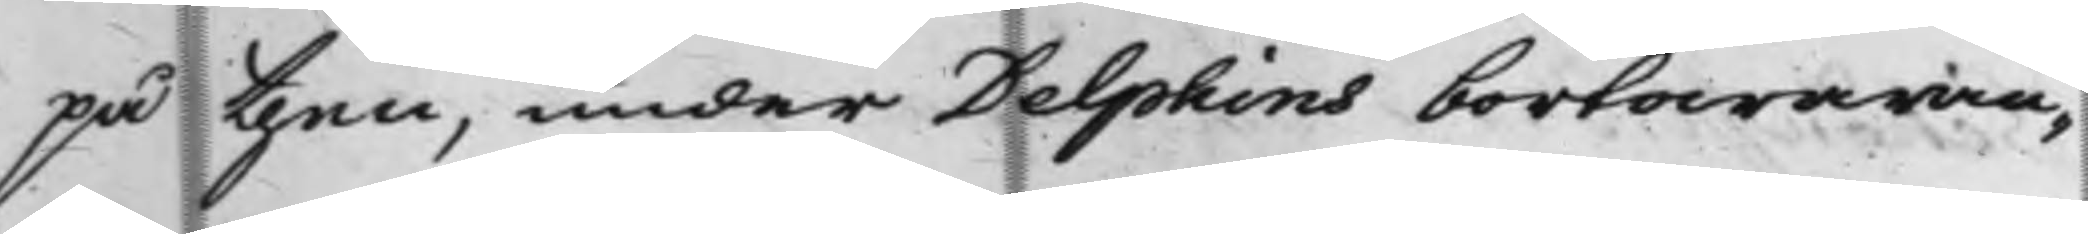på then, under Delphins bortawaran¬
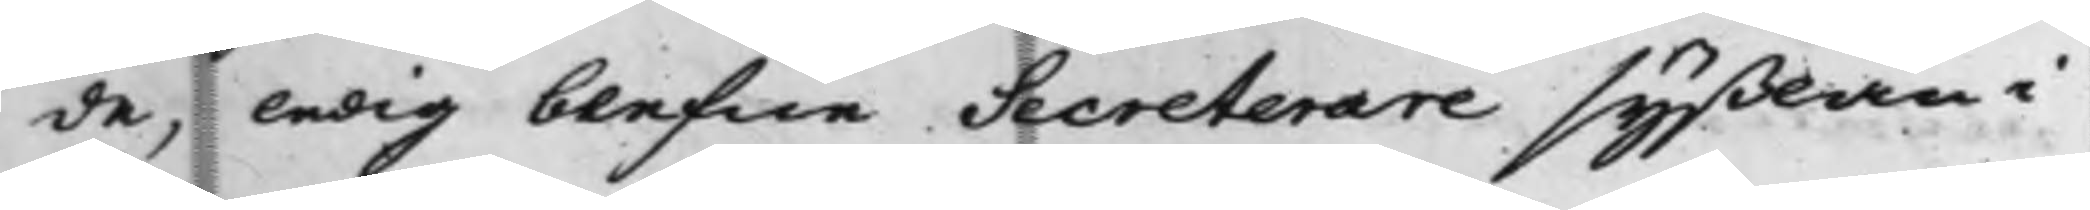de, ledig blefne Secreterare syßlan i
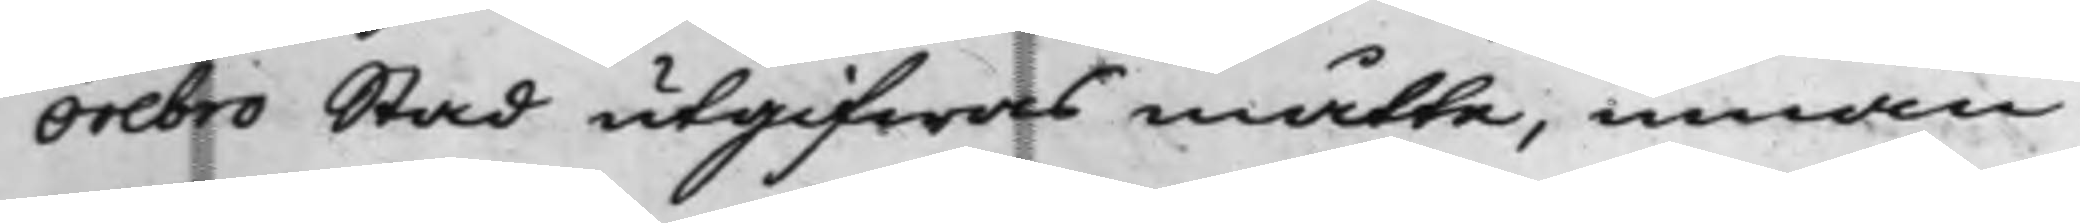Örebro Stad utgifwas måtte, innan
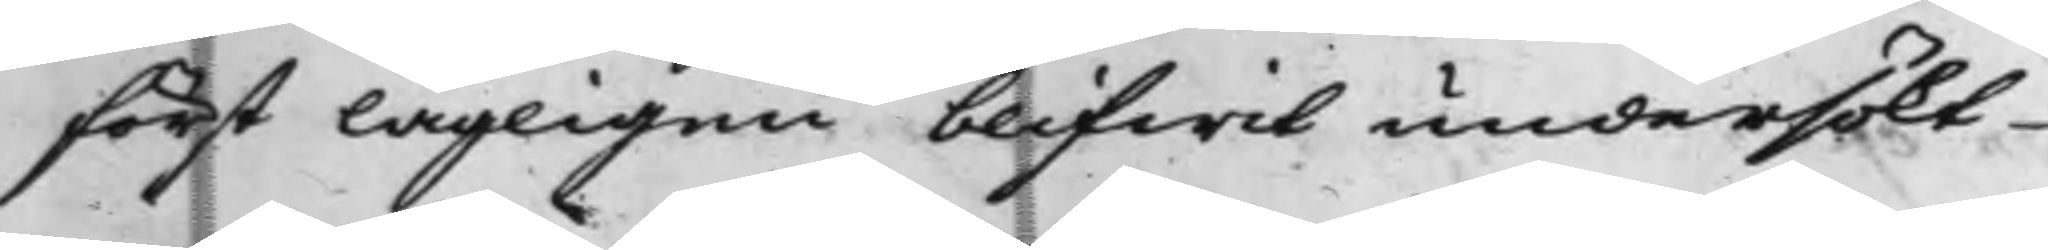först lagligen blifwit undersökt
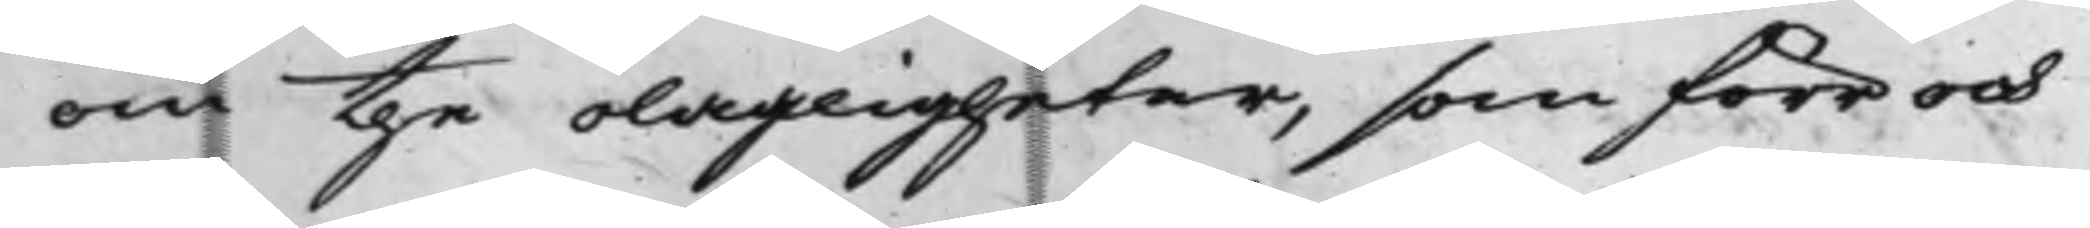om the olagligheter, som förr och
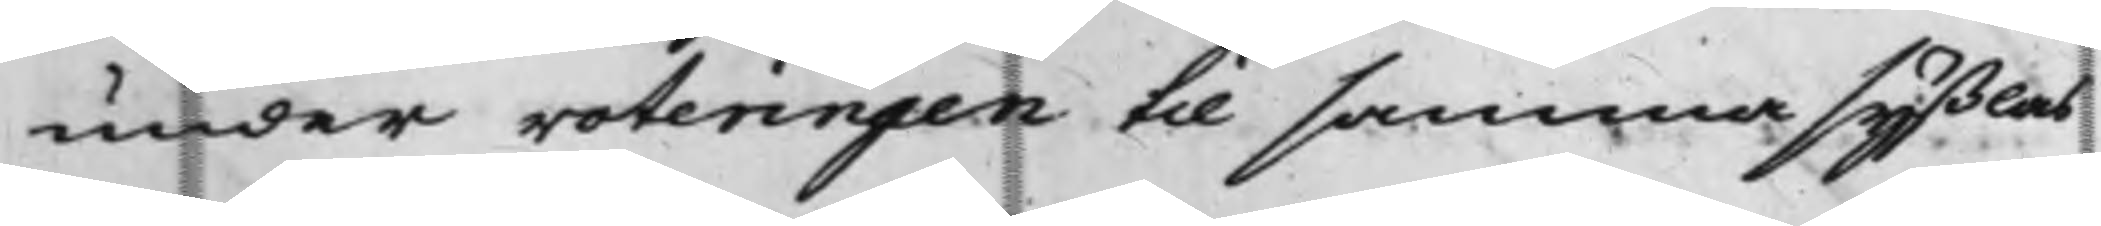under voteringen til samma syßlas
